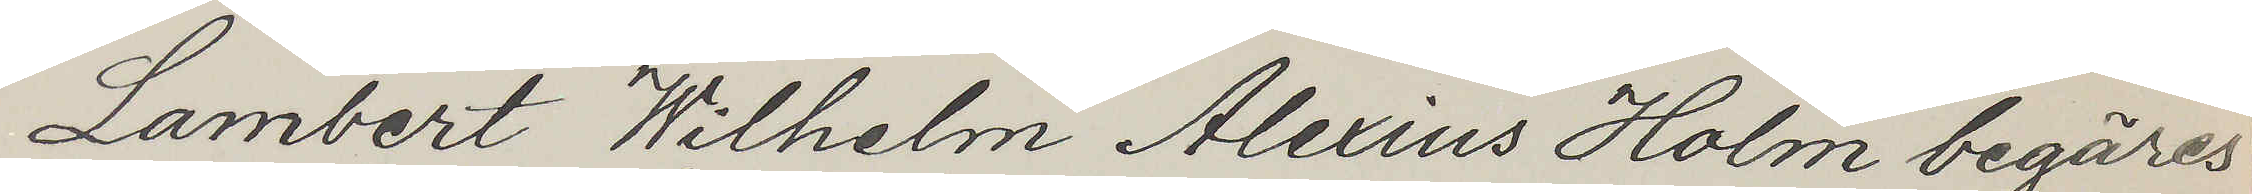Lambert Wilhelm Alexius Holm begäres
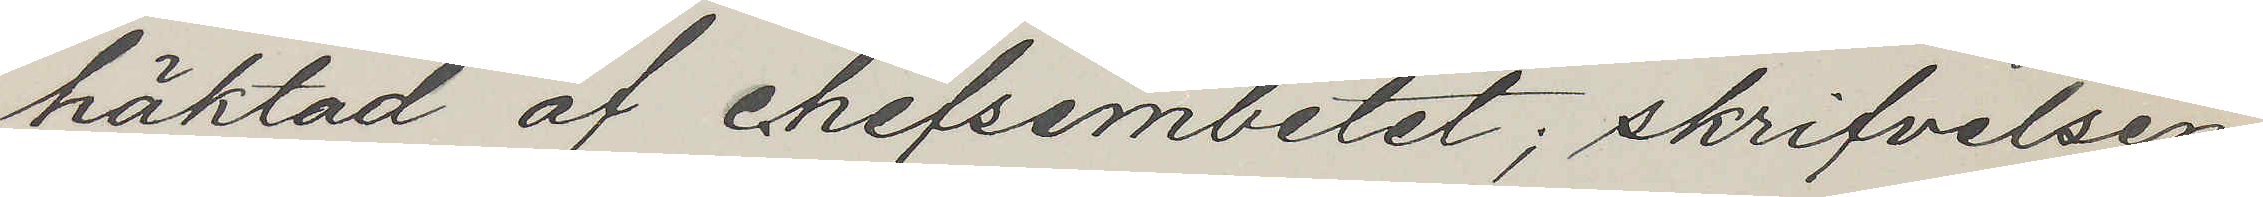häktad af chefsembetet; skrifvelsen
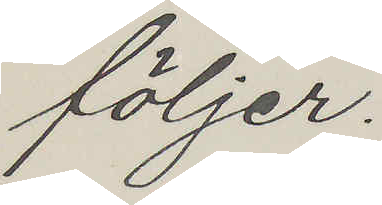följer.
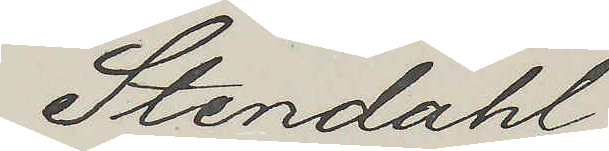Stendahl
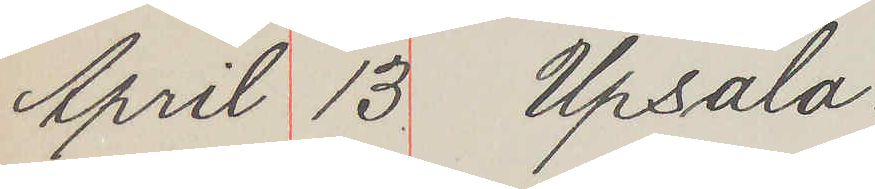April 13 Upsala.
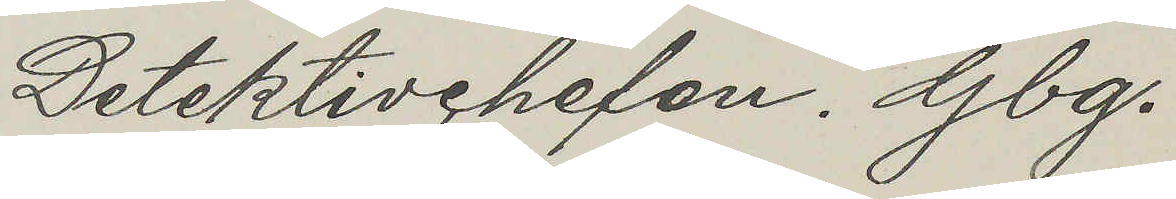Detektivchefen. Gbg.
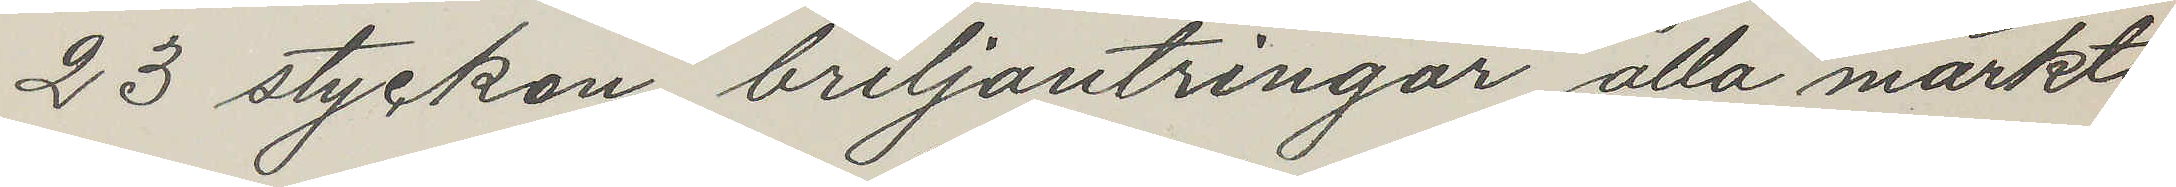23 stycken briljantringar alla märkta
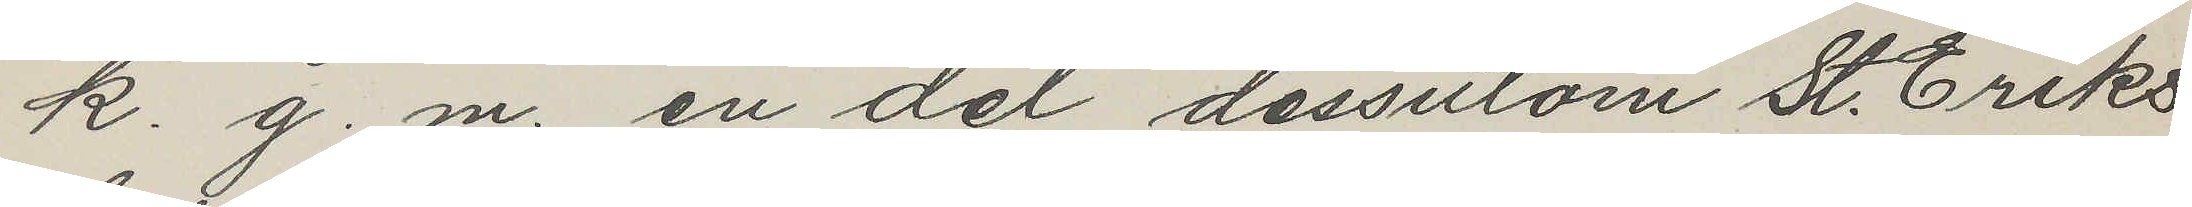k. g. m. en del dessutom St. Eriks
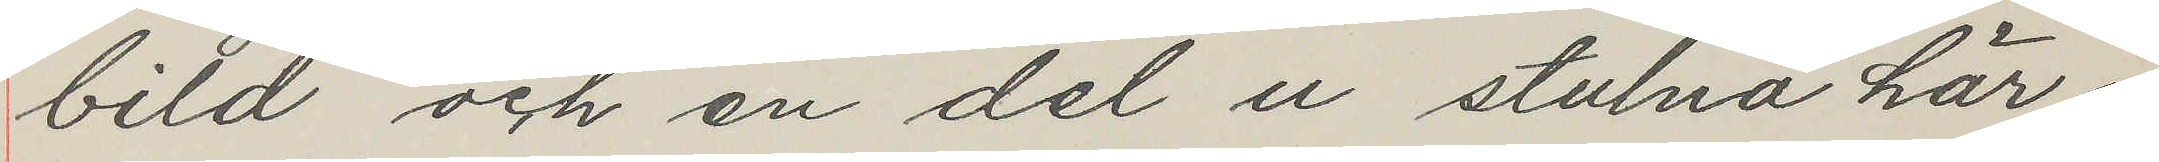bild och en del u stulna här i
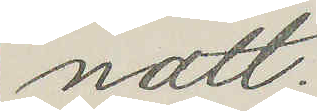natt.
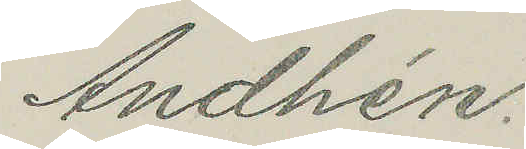Andhén.
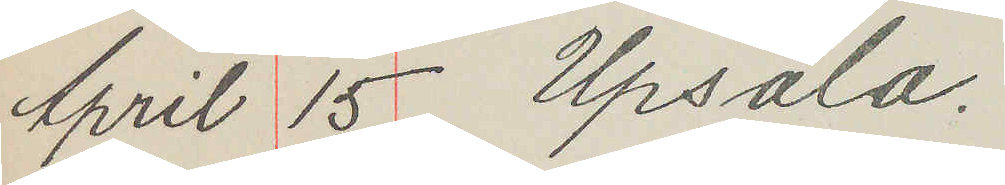April 15 Upsala.
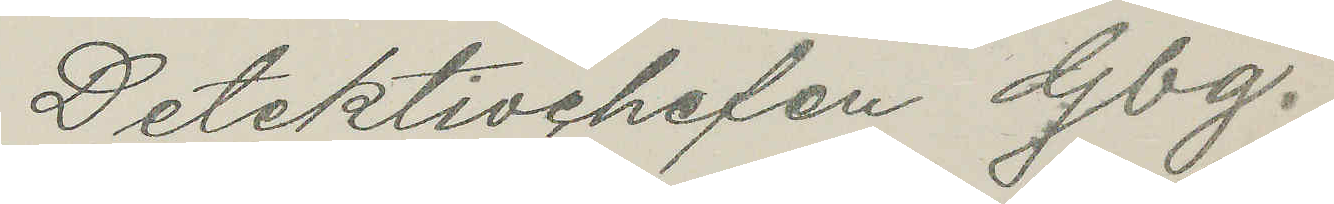Detektivchefen Gbg.
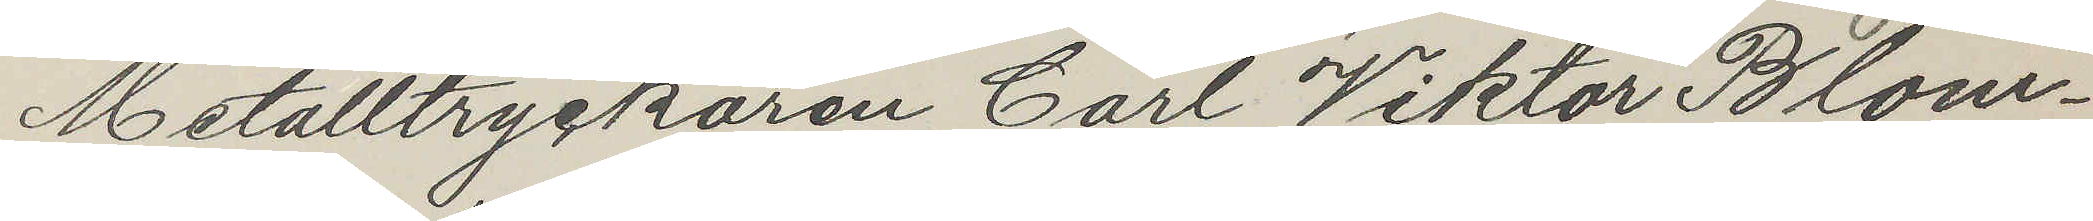Metalltryckaren Carl Viktor Blom¬
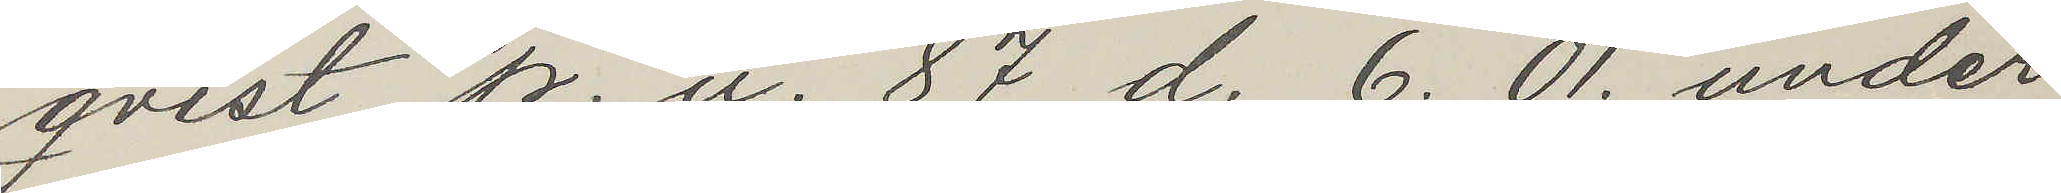qvist p. u. 87 d. 6. 01. under
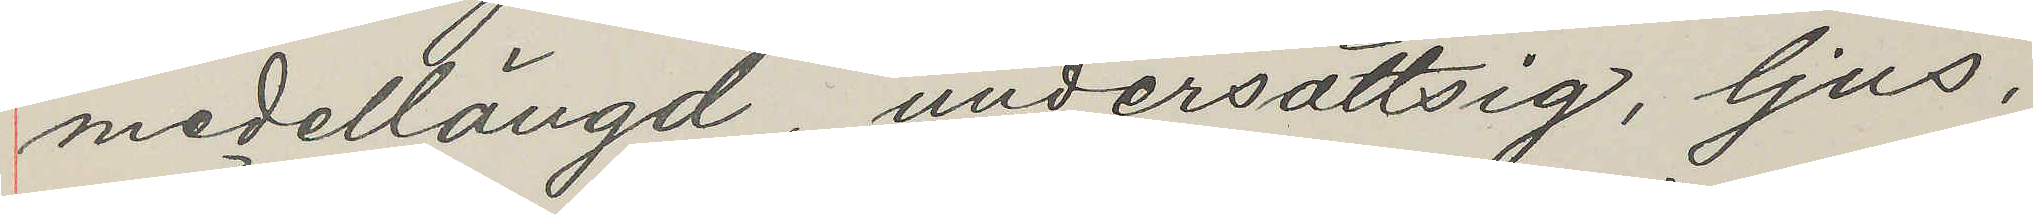medellängd, undersättsig, ljus,
